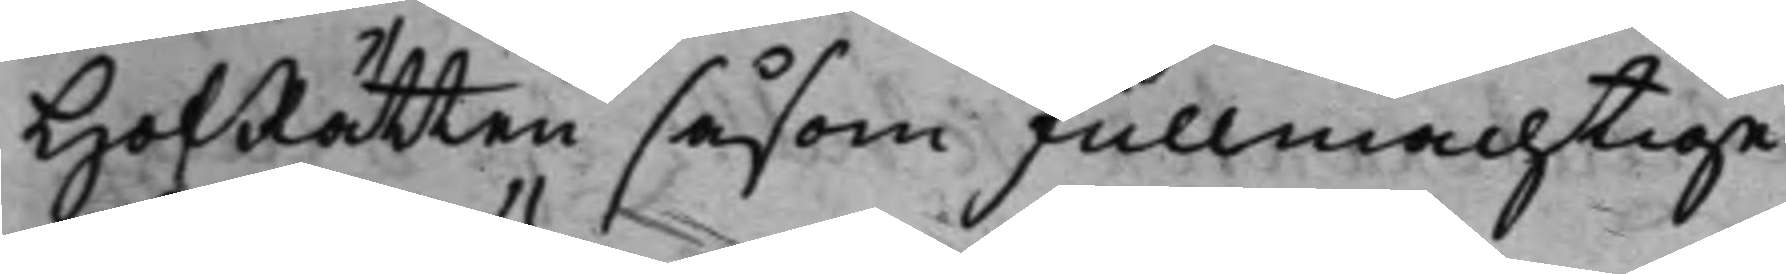HofRätten såsom fullmächtige
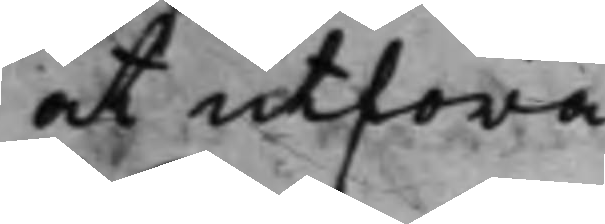at utföra.
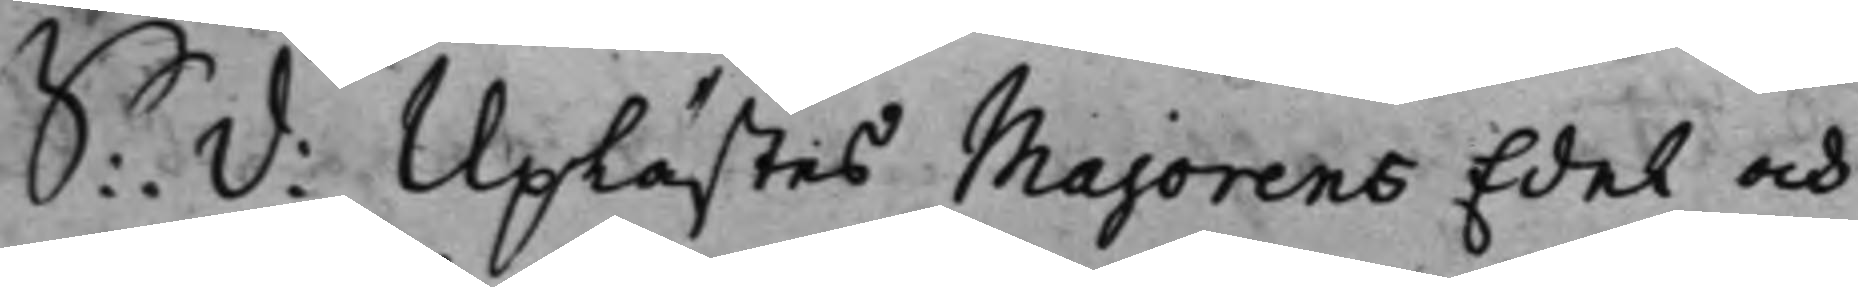S: D: Uplästes Majorens Edel och
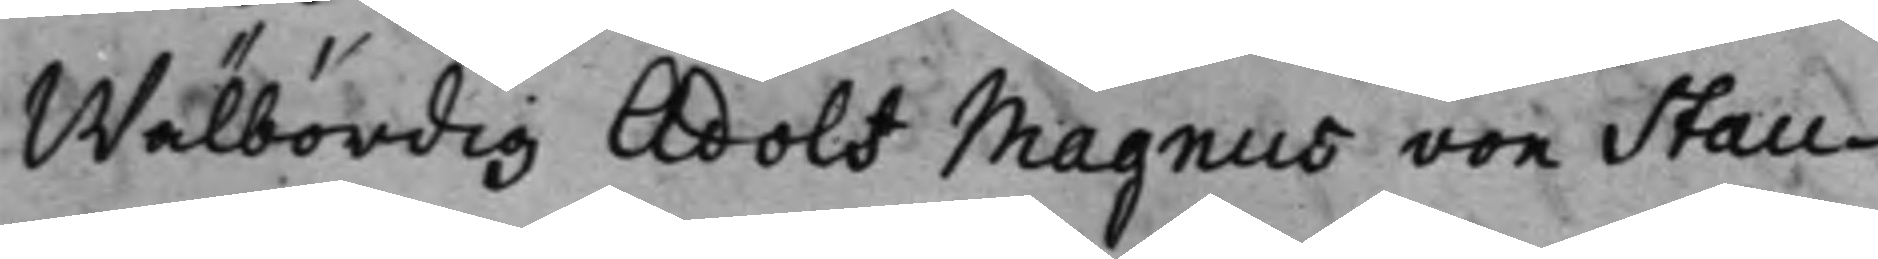Wälbördig Adolf Magnus von Stau¬
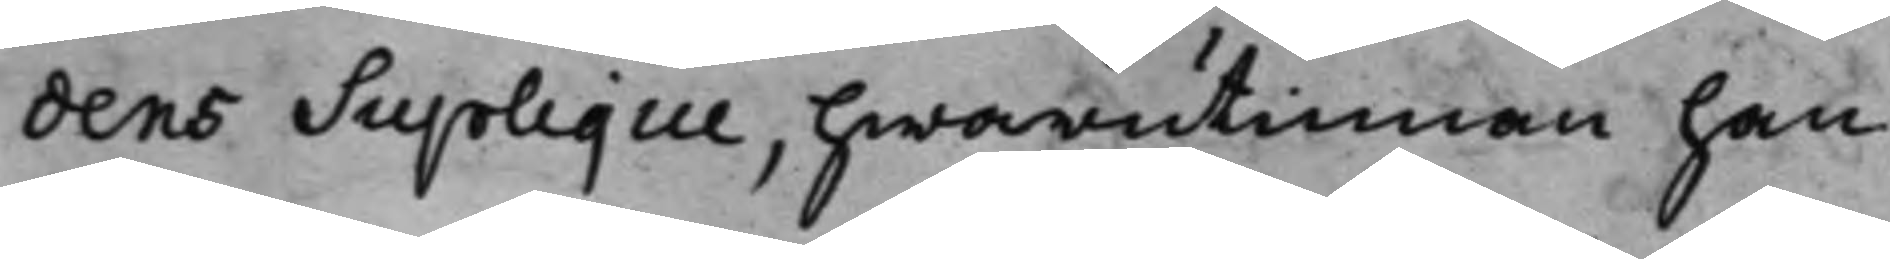dens Suplique, hwarutinnan han
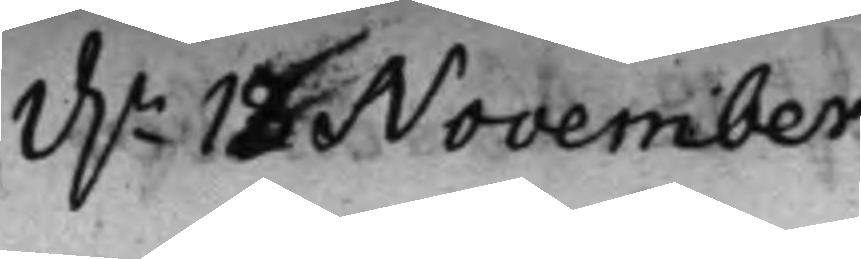d.n 12 November
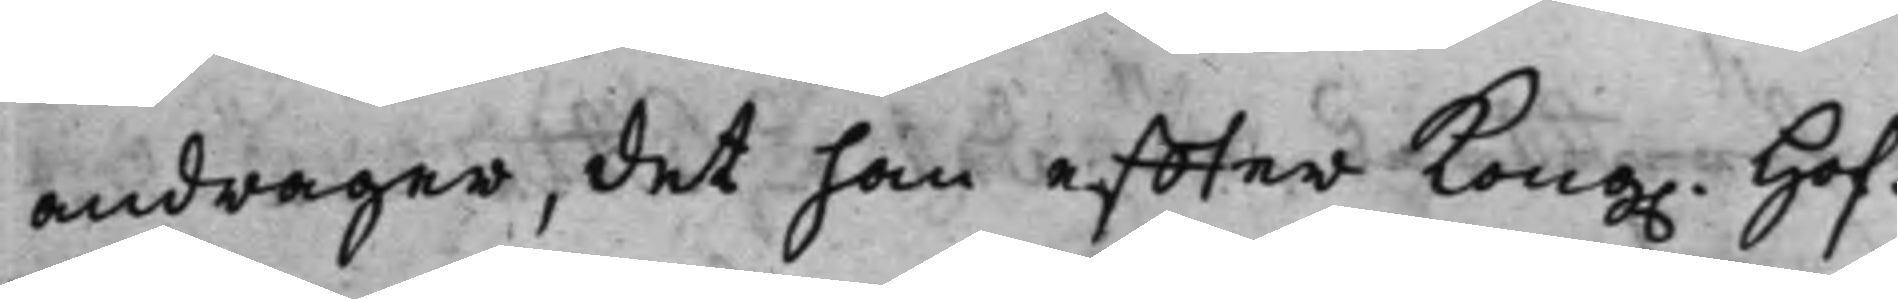andrager, det han effter Kong. Hof¬
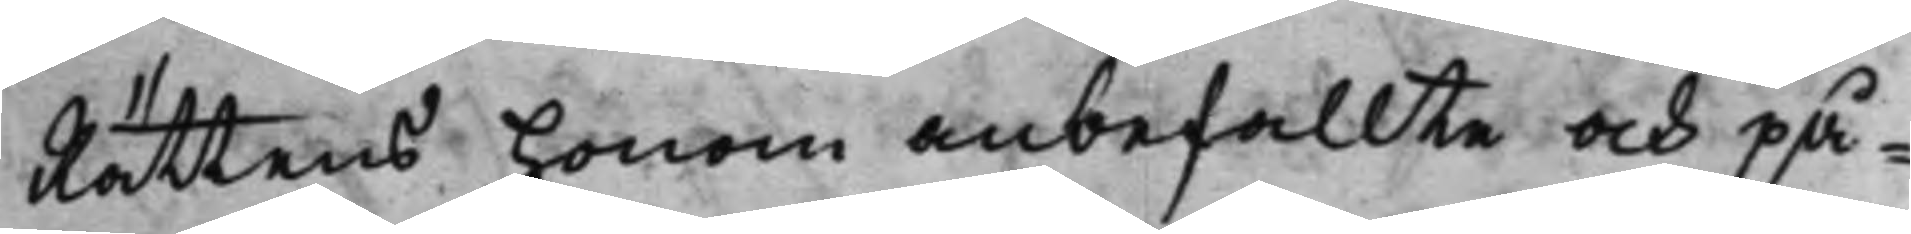Rättens honom anbefallte och på¬
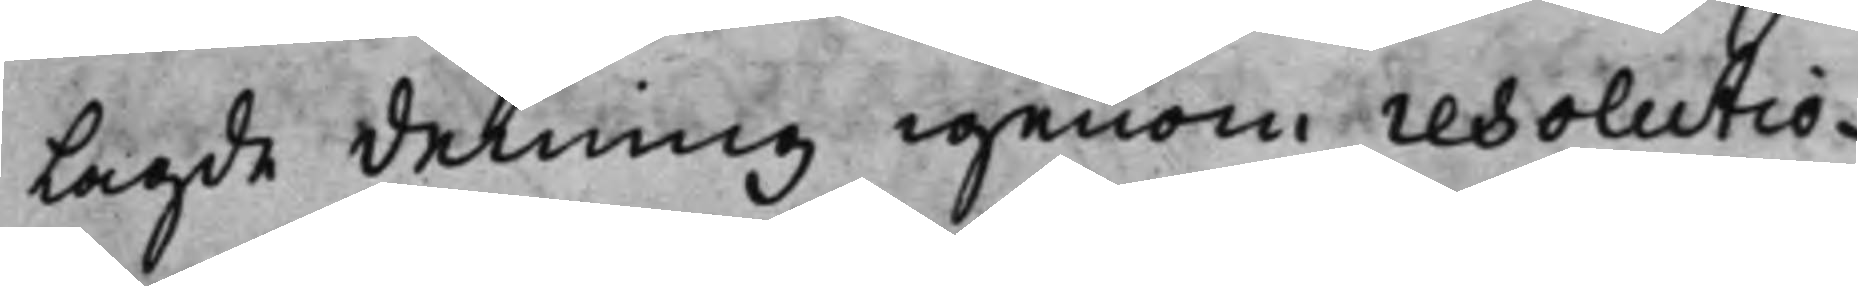lagde delning igenom resolutio¬
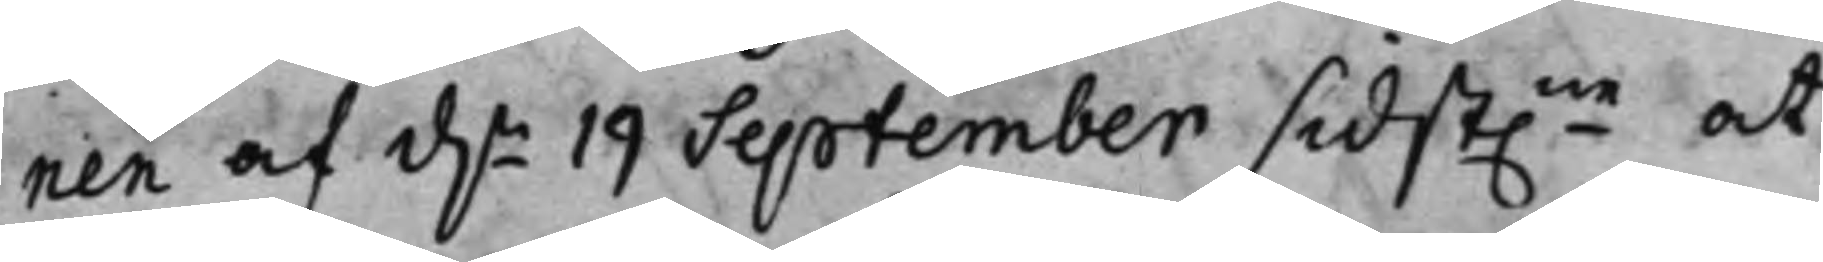nen af d.n 19 September sidst.ne at
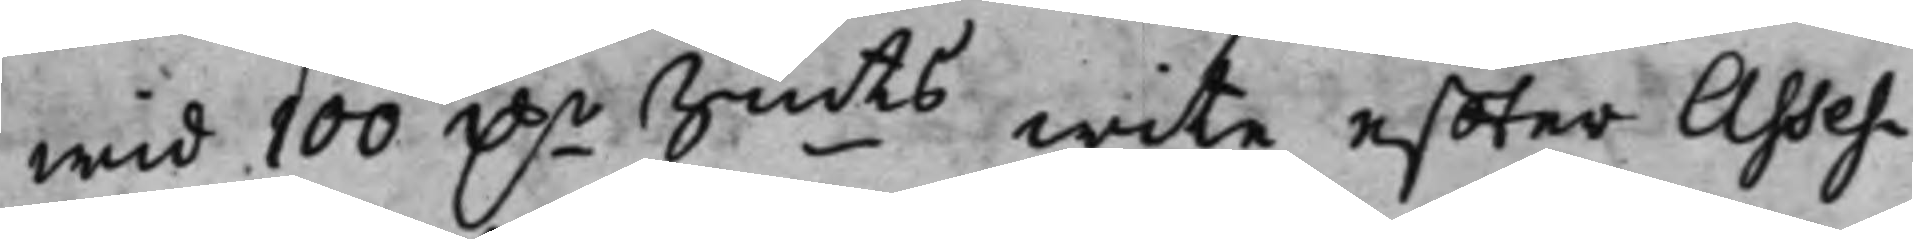wid 100 D.r Smts wite effter Asses¬
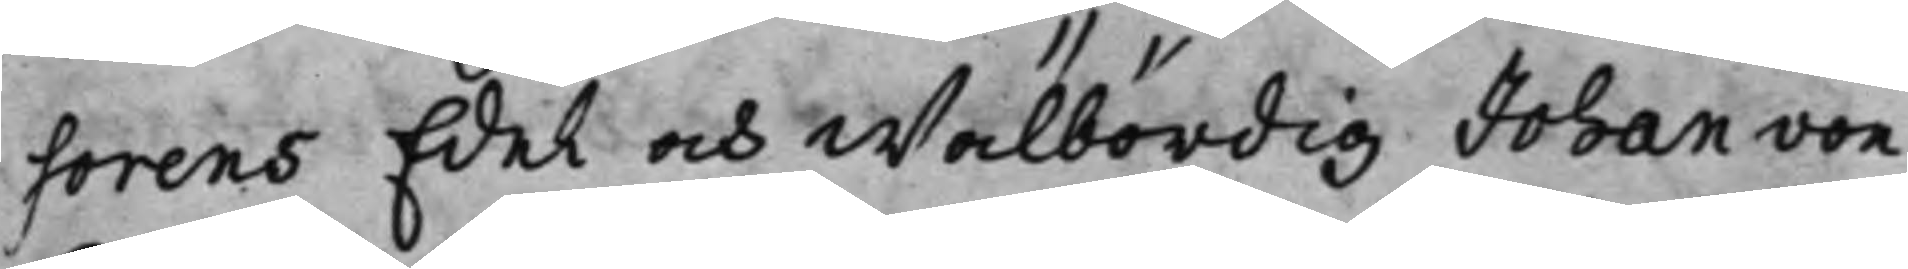sorens Edel och Wälbördig Johan von
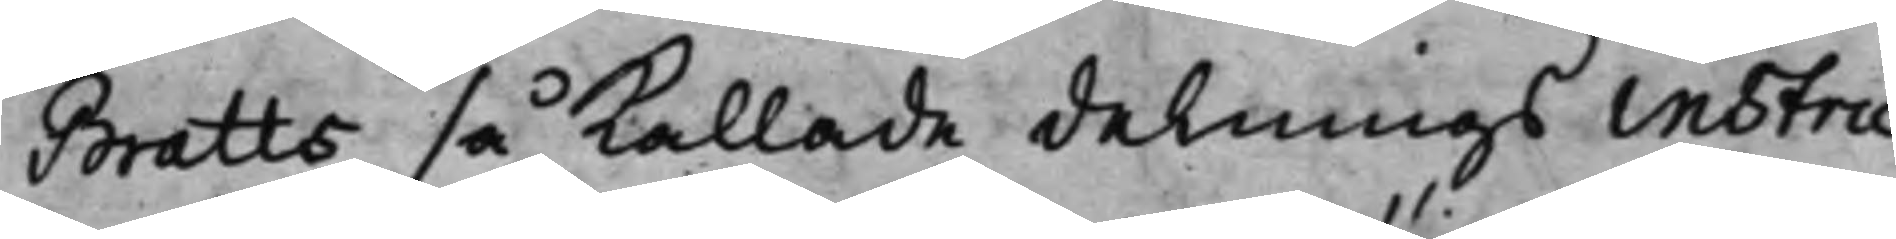Bratts så kallade delnings instru¬
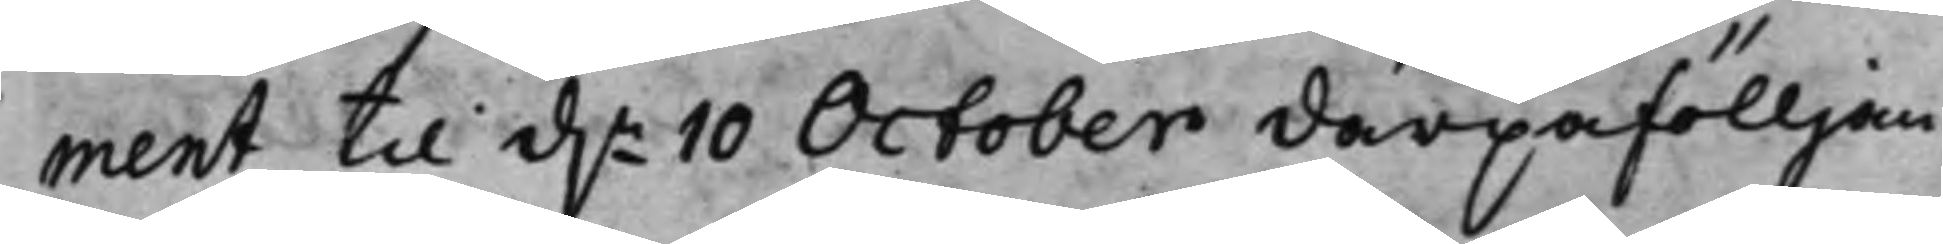ment til d.n 10 October därpåfölljan¬
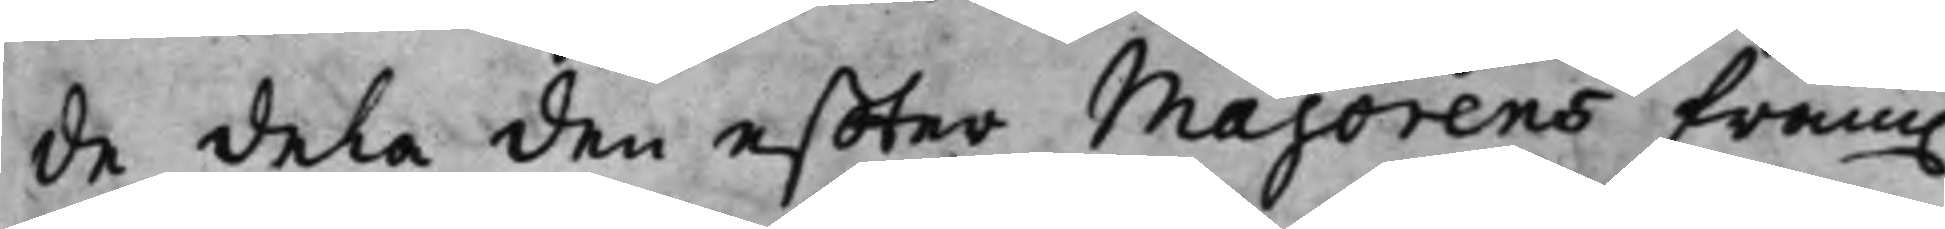de dela den effter Majorens fram.
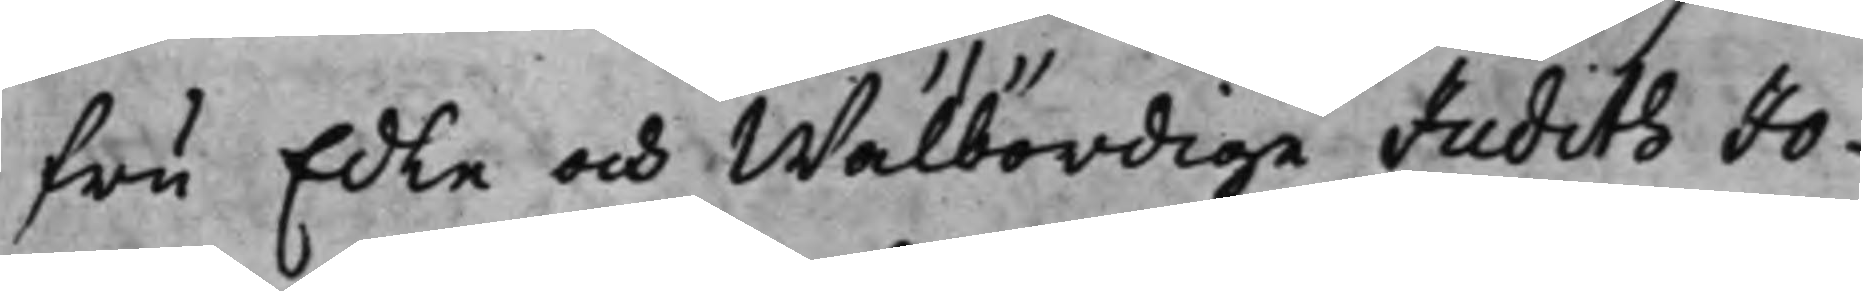fru Edle och Wälbördige Judith Jo¬
